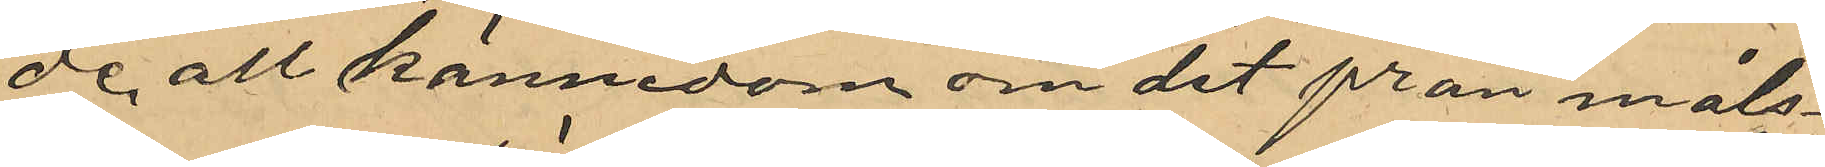de all kännedom om det från måls¬
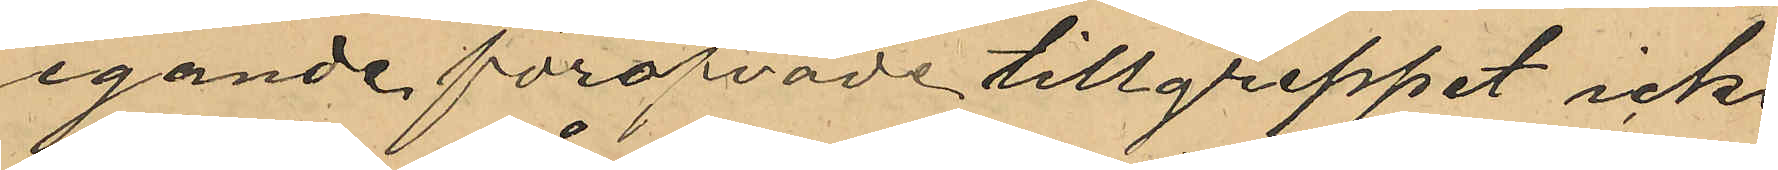egande föröfvade tillgreppet icke
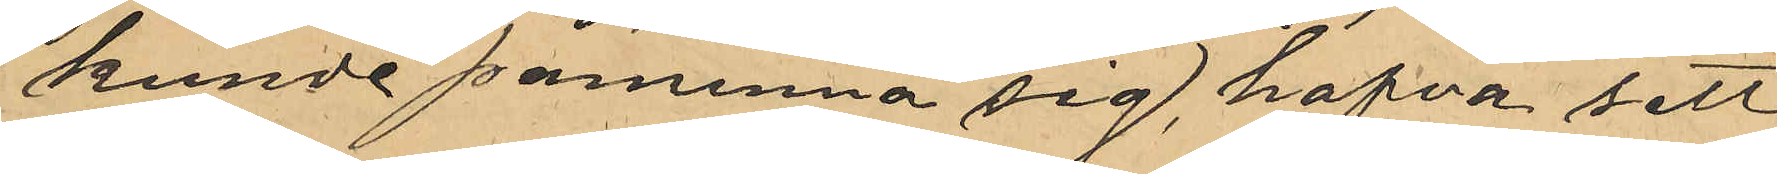kunde påminna sig, hafva sett
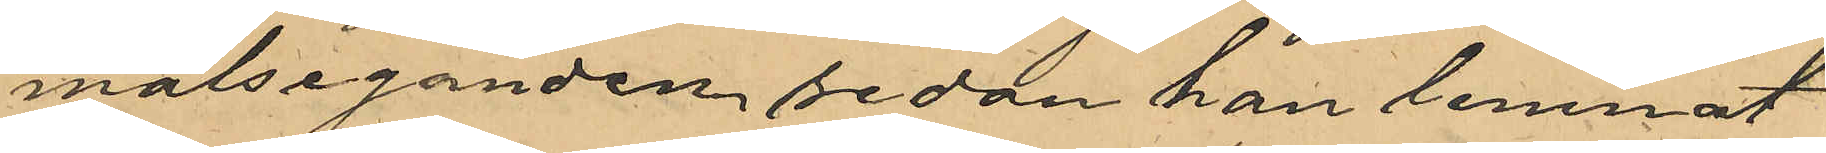målseganden sedan han lemnat
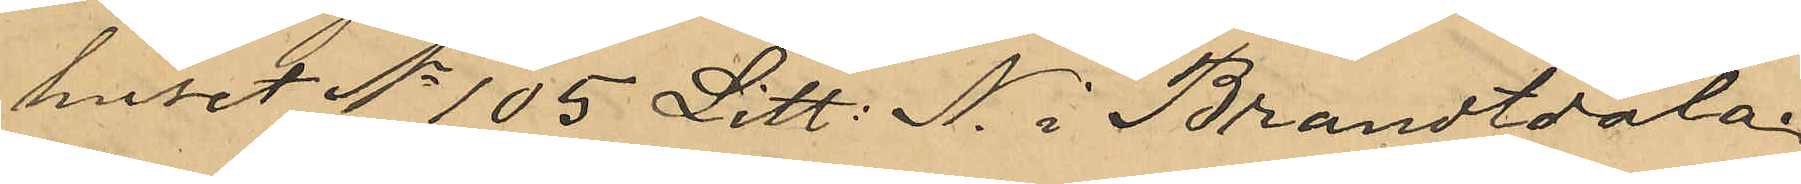huset No 105 Litt. N i Brandtdala.
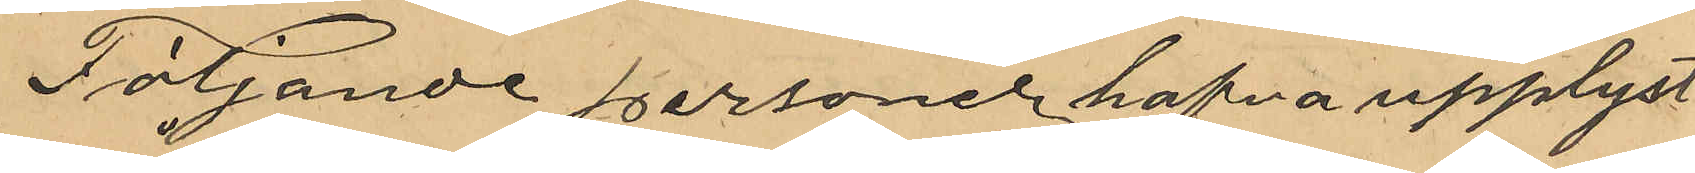Följande personer hafva upplyst:
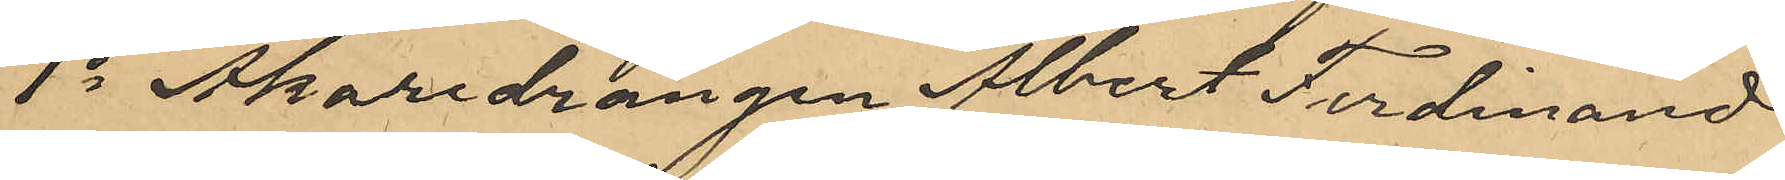1o Åkaredrängen Albert Ferdinand
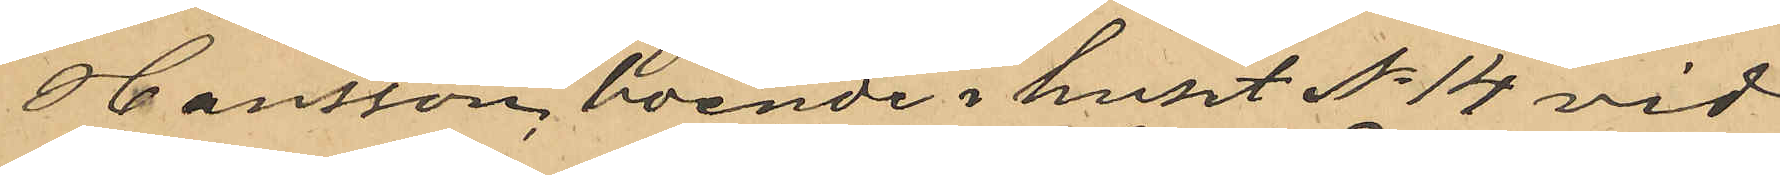Hansson, boende i huset No 14 vid
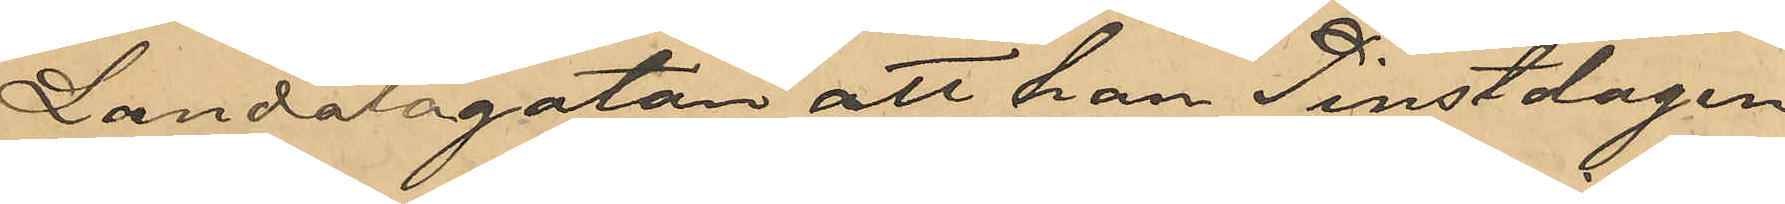Landalagatan att han Pinstdagen
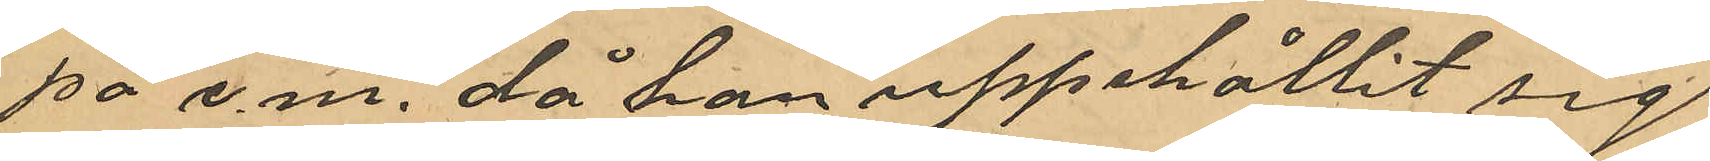på e.m. då han uppehållit sig
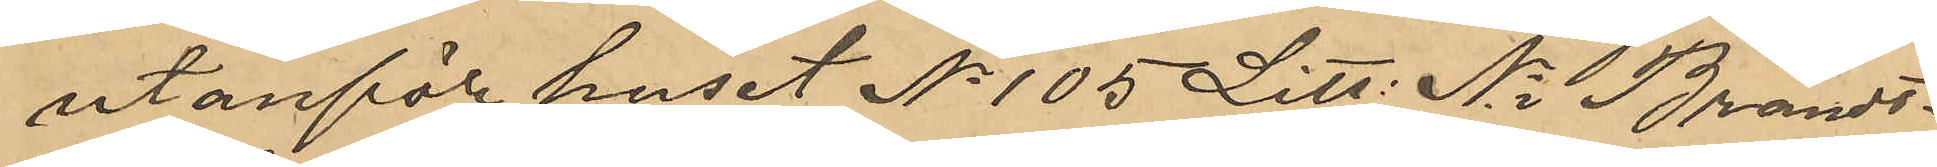utanför huset No 105 Litt. N i Brandt¬
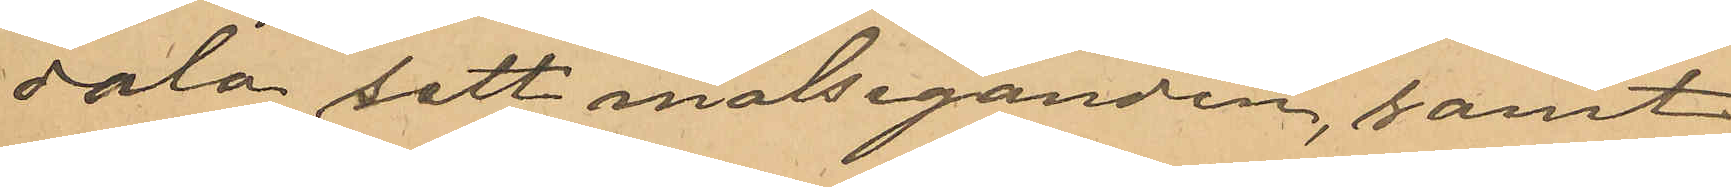dala sett målseganden, samt¬
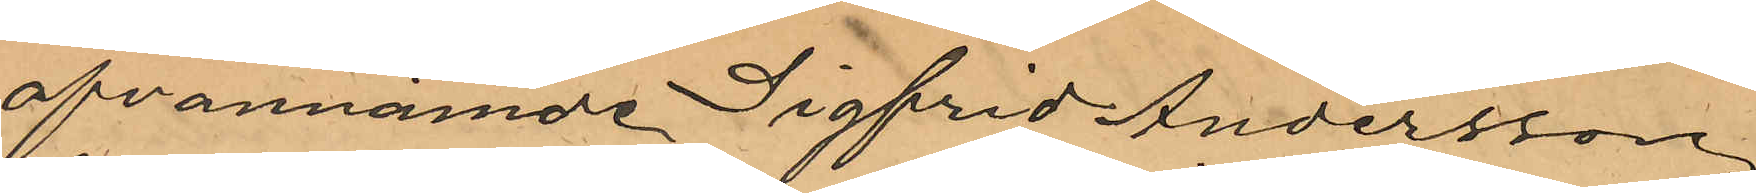af ofvannämnde Sigfrid Andersson,
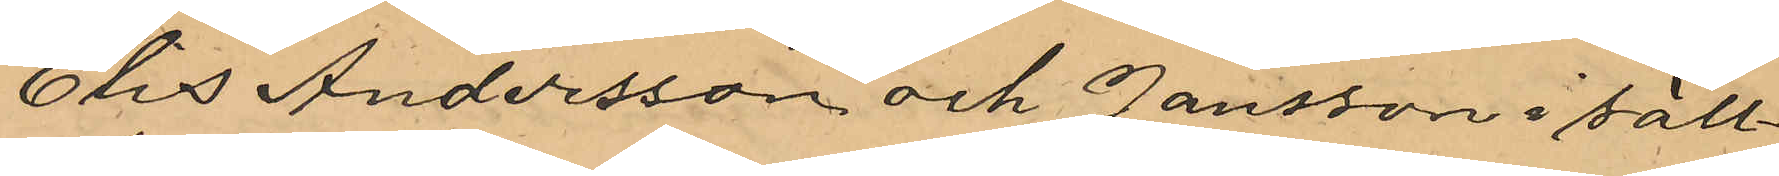Elis Andersson och Jansson i säll¬
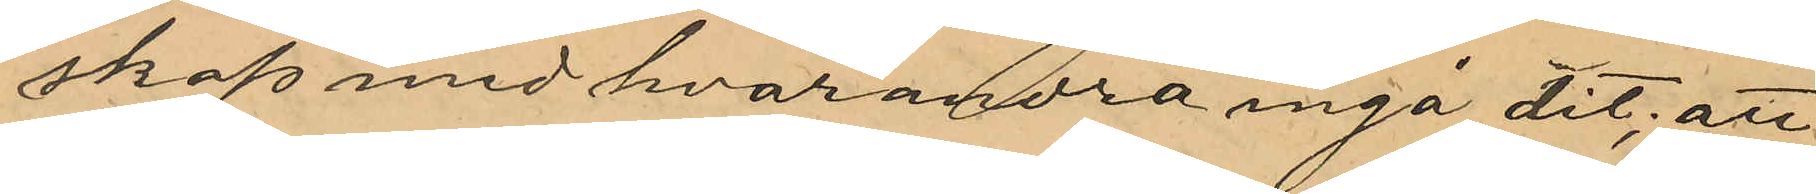skap med hvarandra ingå dit; att
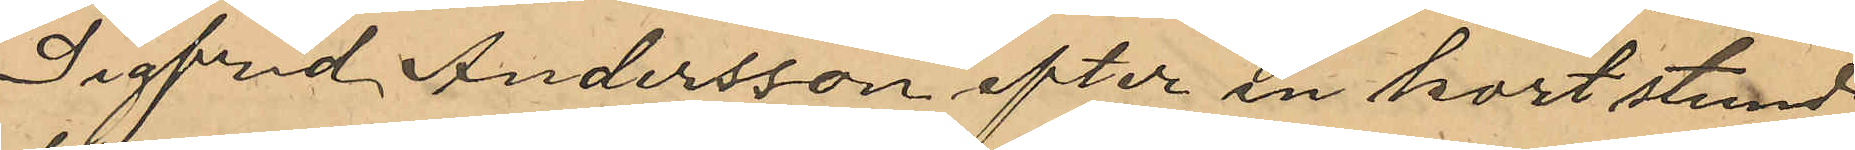Sigfrid Andersson efter en kort stund
